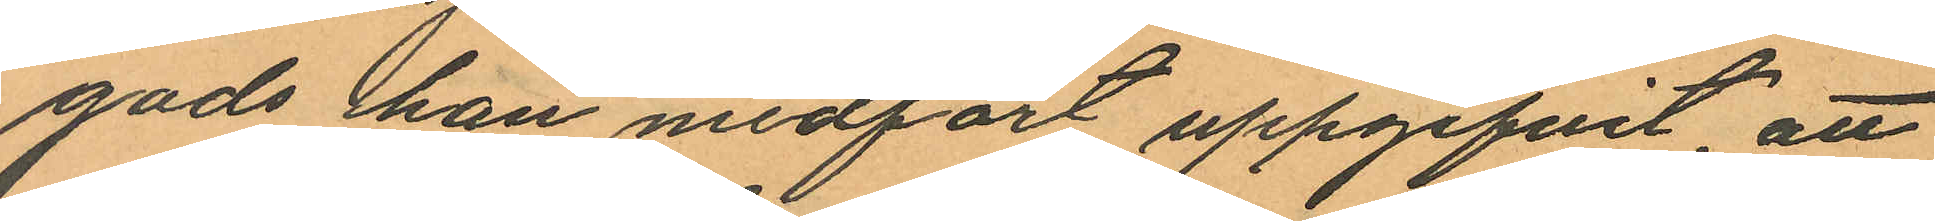gods han medfört uppgifvit, att
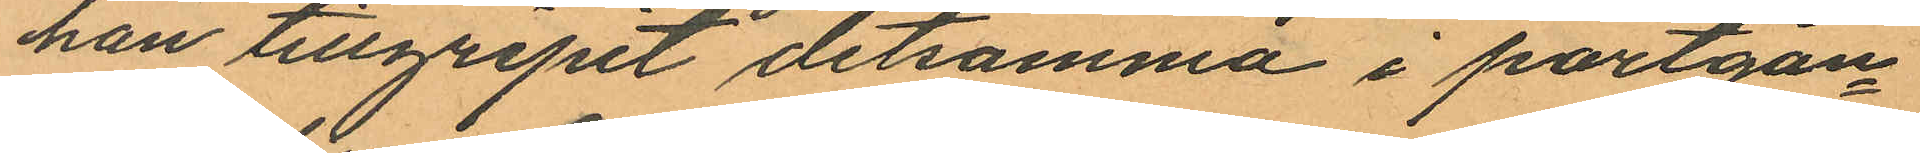han tillgripit detsamma i portgån¬
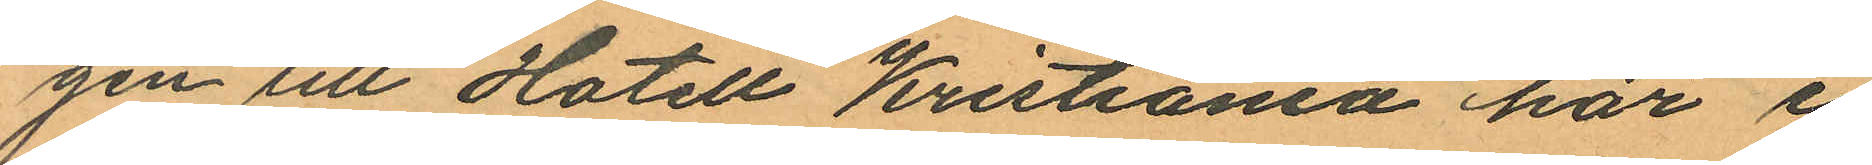gen till Hotell Kristiania här i
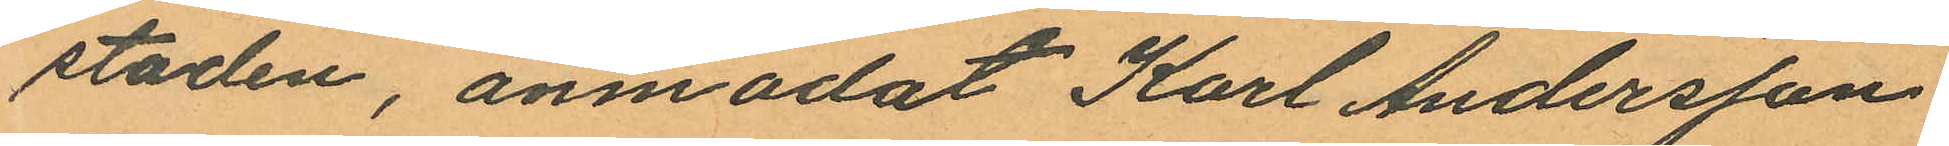staden, anmodat Karl Andersson
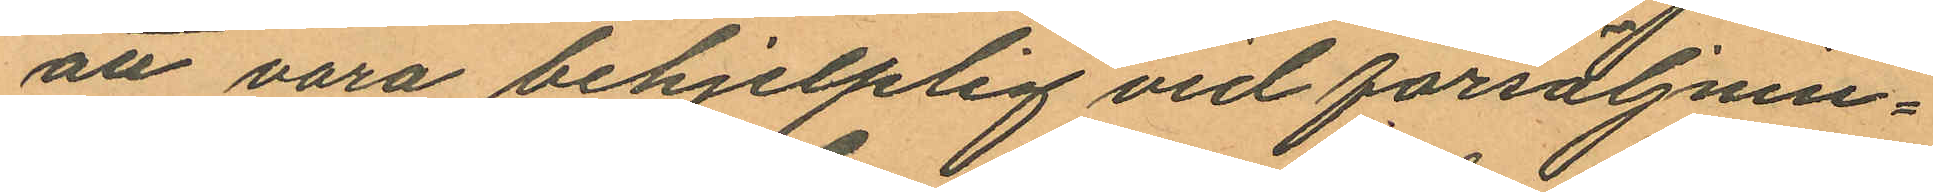att vara behjelplig vid försäljnin¬
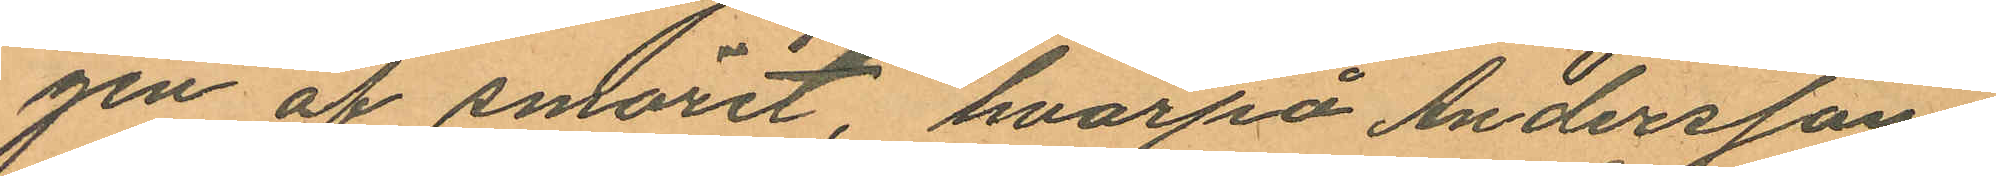gen af smöret, hvarpå Andersson
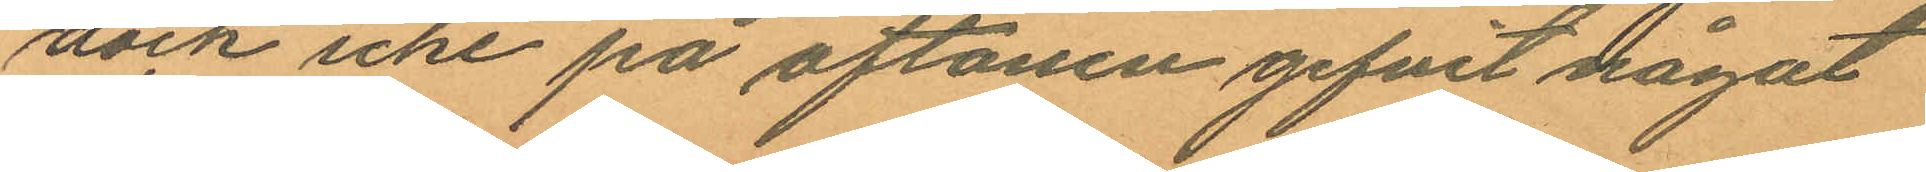dock icke på aftonen gifvit något
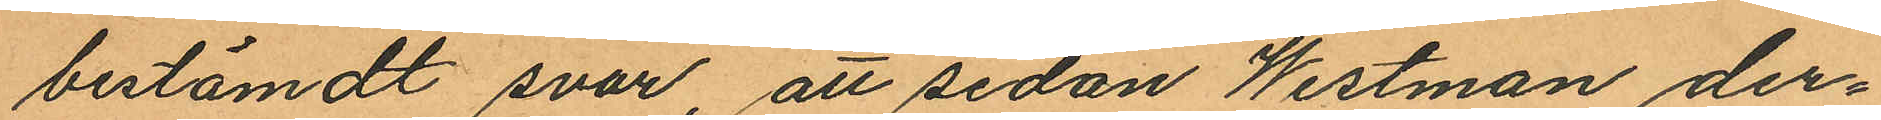bestämdt svar, att sedan Westman der¬
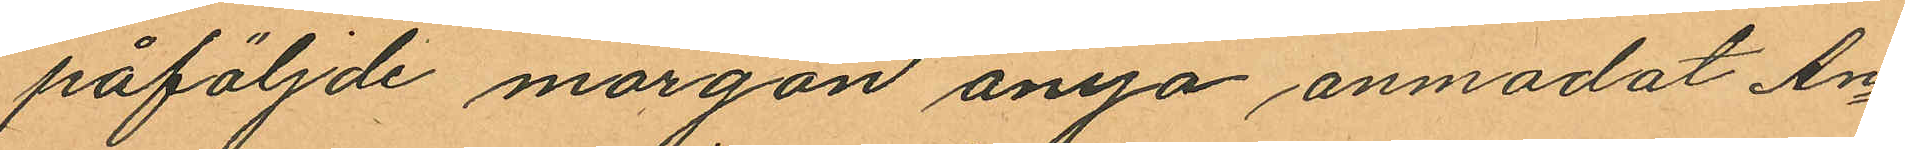påföljde morgon ånyo anmodat An¬
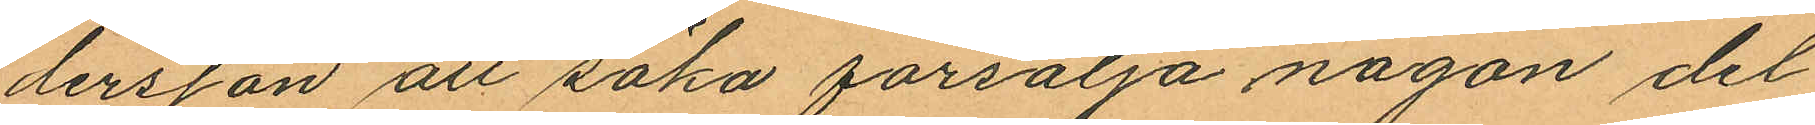dersson att söka försälja någon del
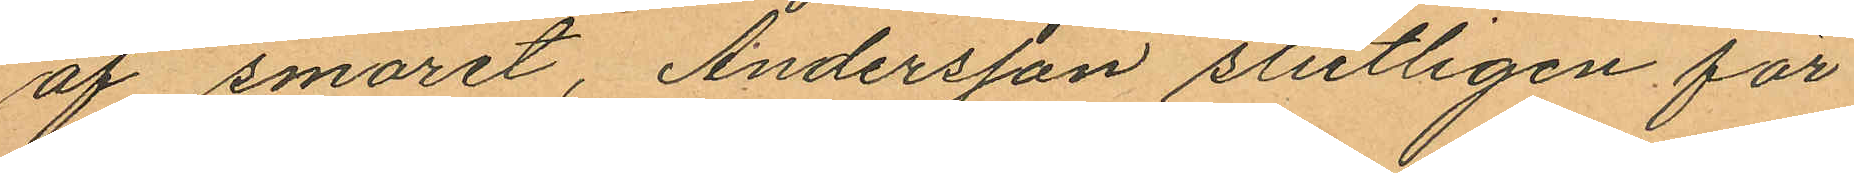af smoret, Andersson slutligen för¬
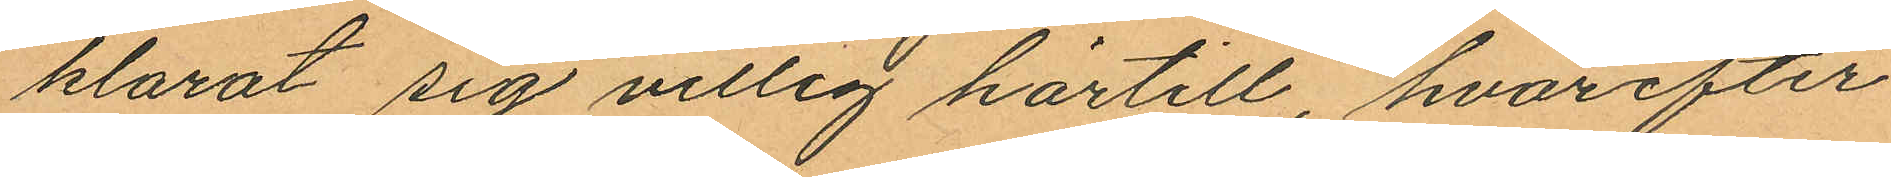klarat sig villig härtill, hvarefter
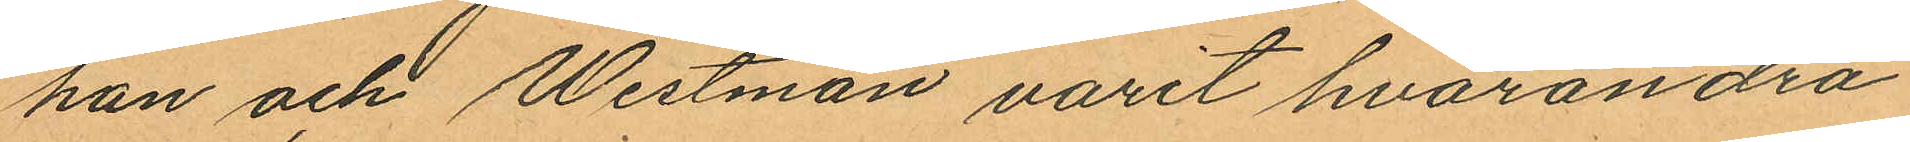han och Westman varit hvarandra
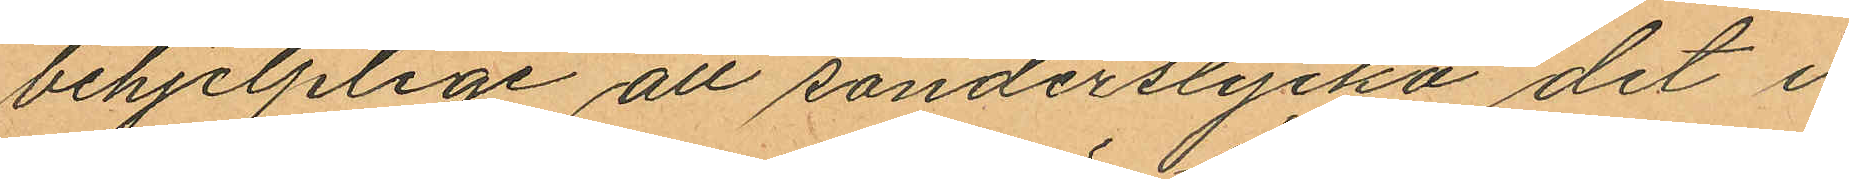behjelplige att sönderstycka det i
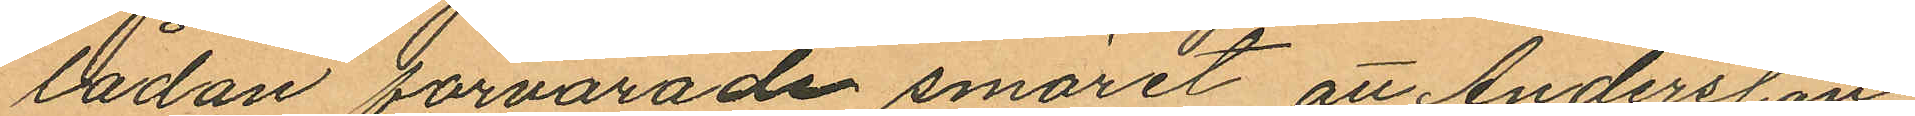lådan förvarade smöret, att Andersson
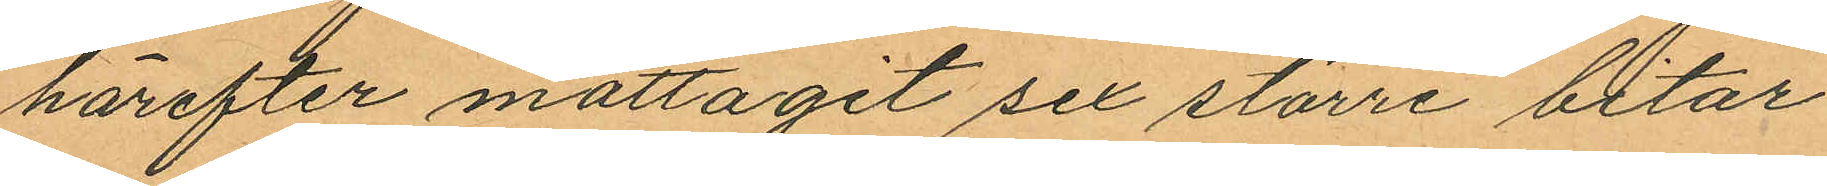härefter mottagit sex större bitar
